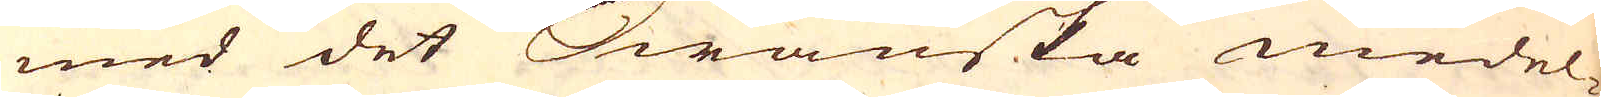med det Swänska medel-
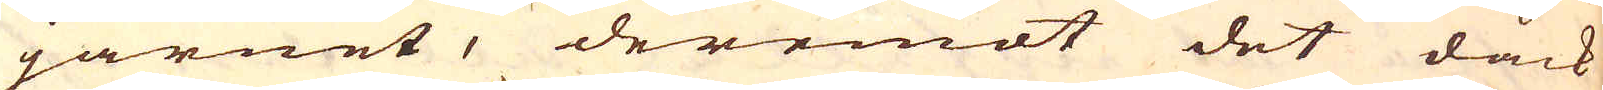järnet, deremot det dåck
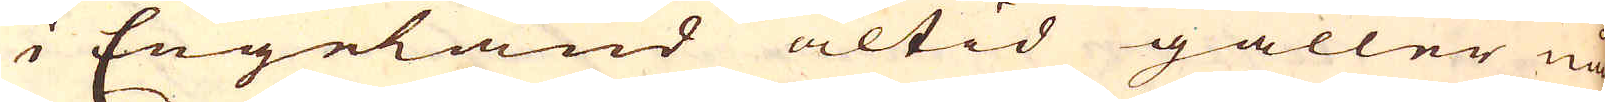i Engeland altid gäller nå-
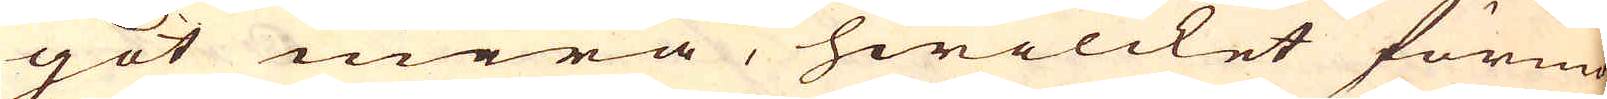got mera, hwilcket förmo-
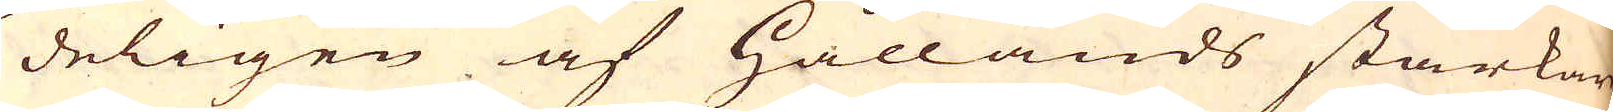deligen af Hållands starkare
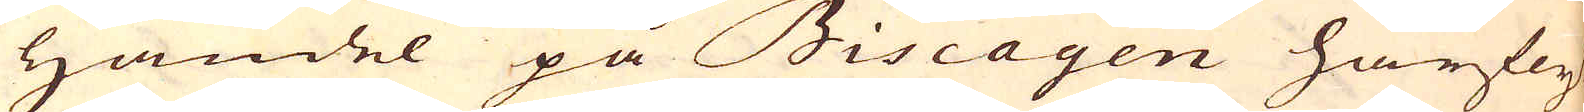handel på Biscayen härfly-
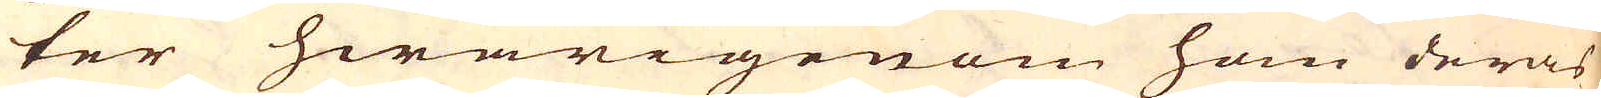ter hwarigenom hon deras
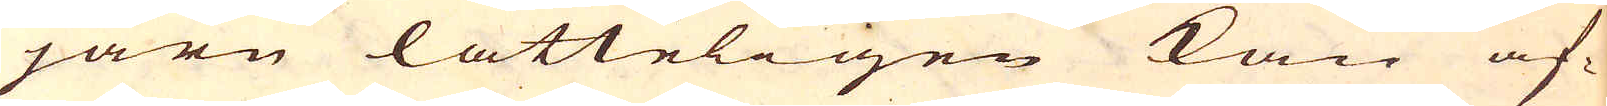järn lätteligen kan af-
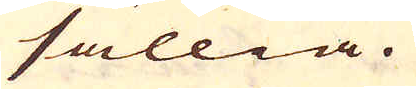sällia.
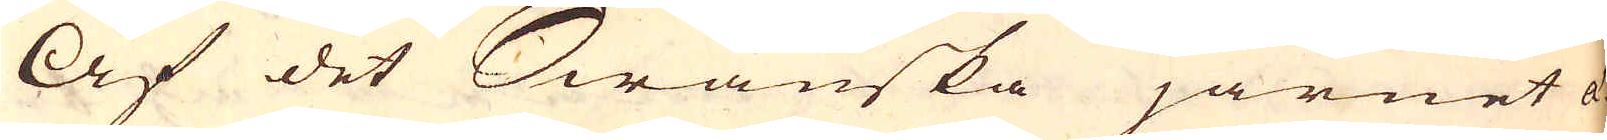Af det Swänska järnet ä-
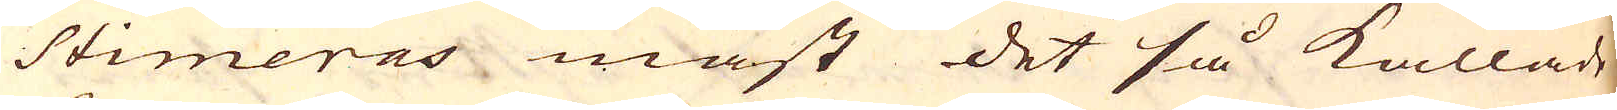stimeras mäst det så kallade
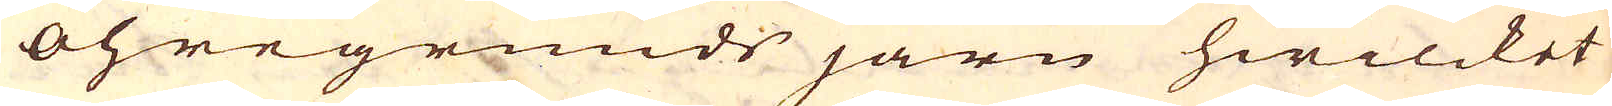Öhregrunds järn hwilcket
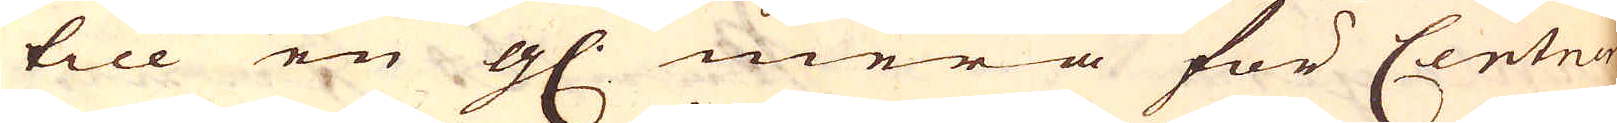till en gl. mera för Centnern
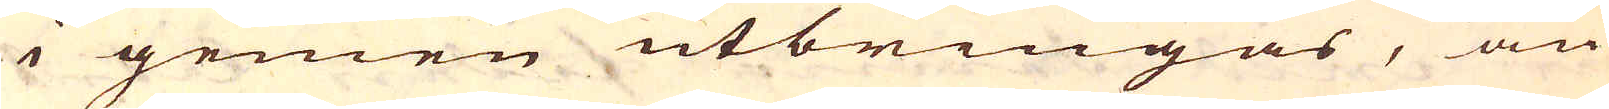i gemen utbringas, än
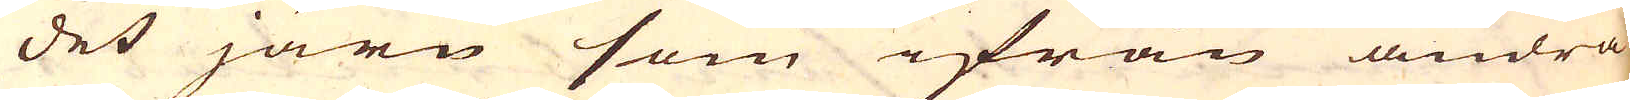det järn som ifrån andra
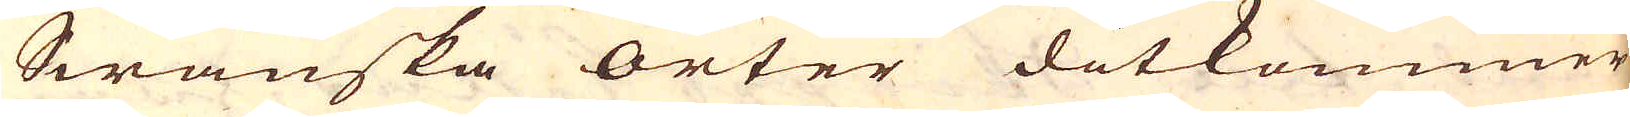Swänska orter ditkommer,
